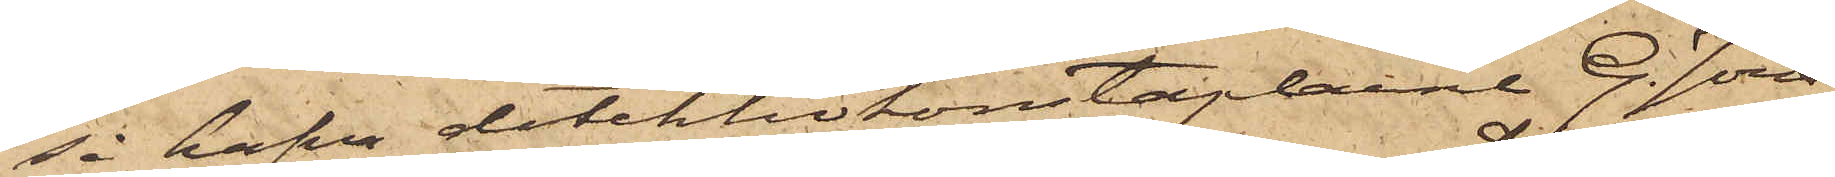så hafva detektivkonstaplarne G. Jöns¬
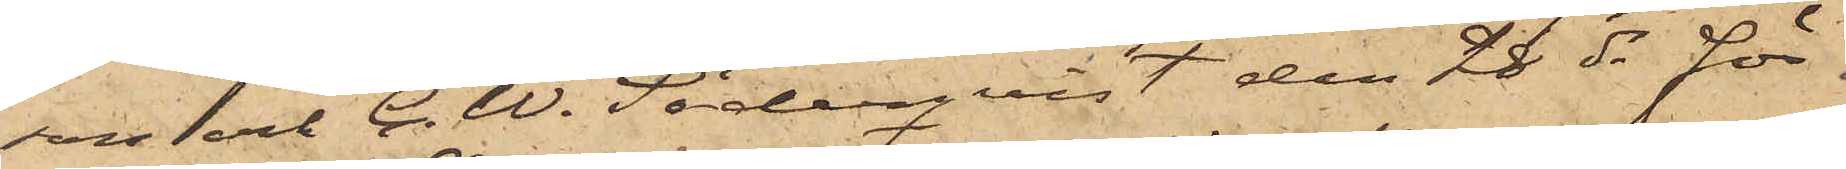son och C. W. Söderqvist den 28 ds för
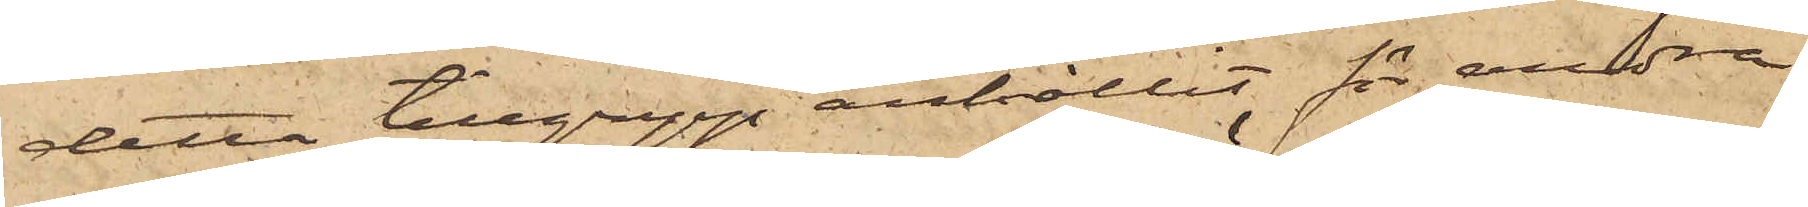detta tillgrepp anhållit för andra
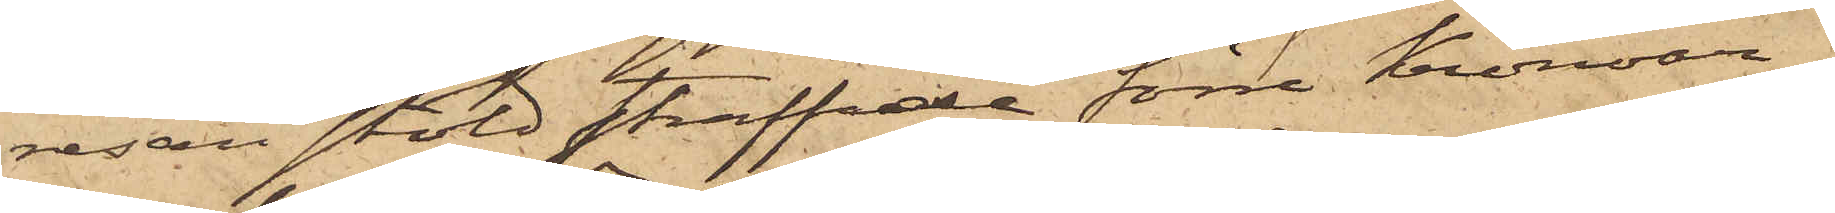resan stöld straffade förre Kronoar¬
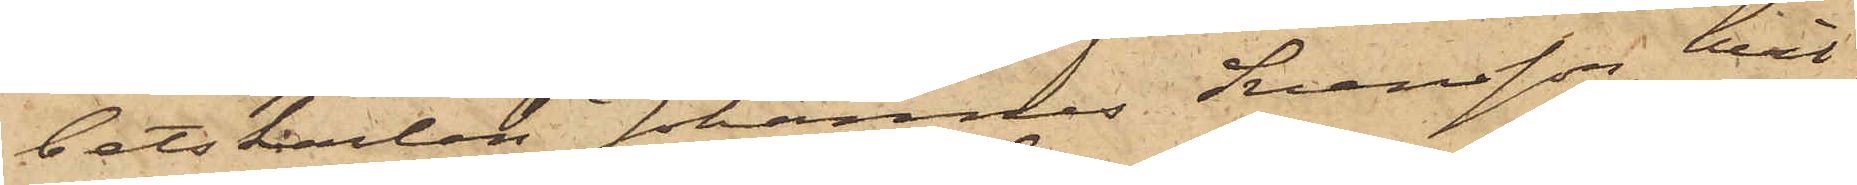betskarlen Johannes Svensson, hvil¬
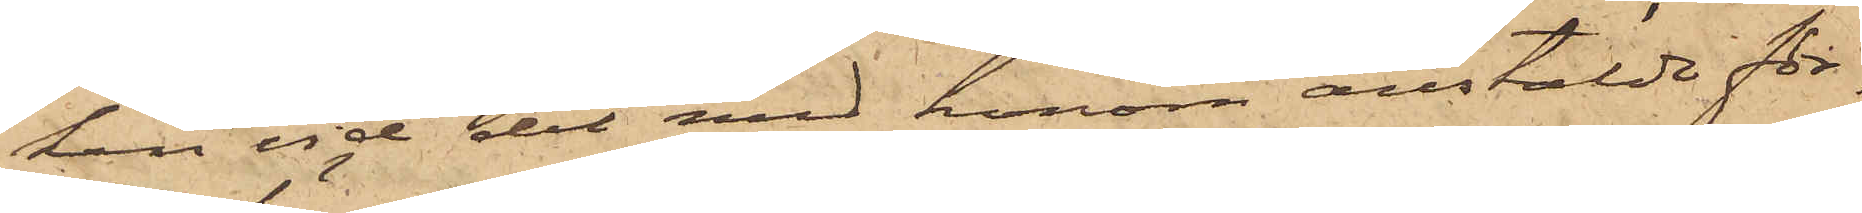ken vid det med honom anstälde för¬
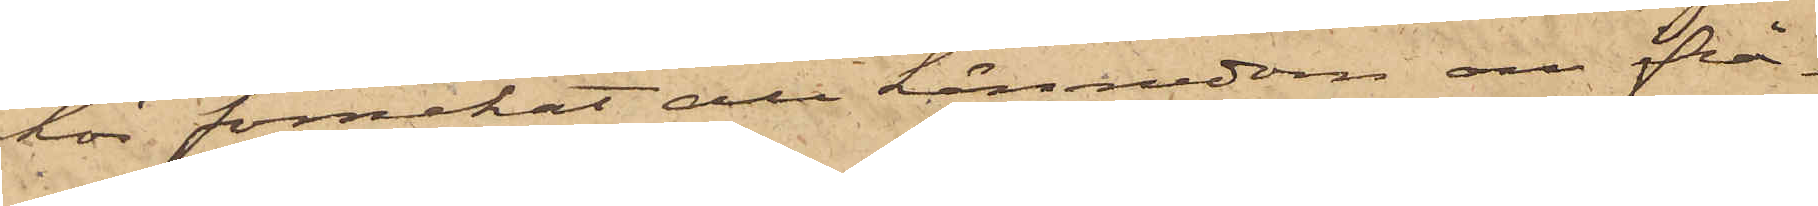hör förnekat all kännedom om ifrå¬
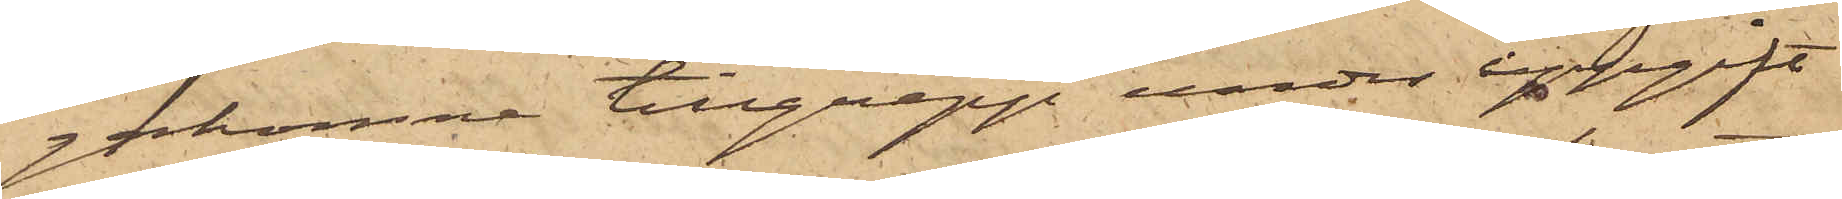gakomne tillgrepp under uppgift
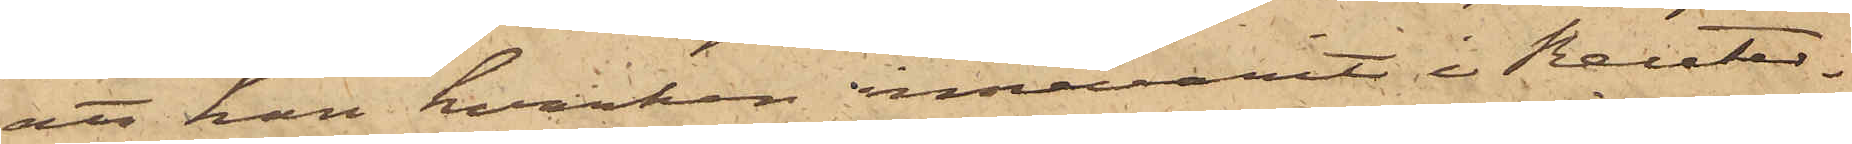att han hvarken innevarit i Reuter¬
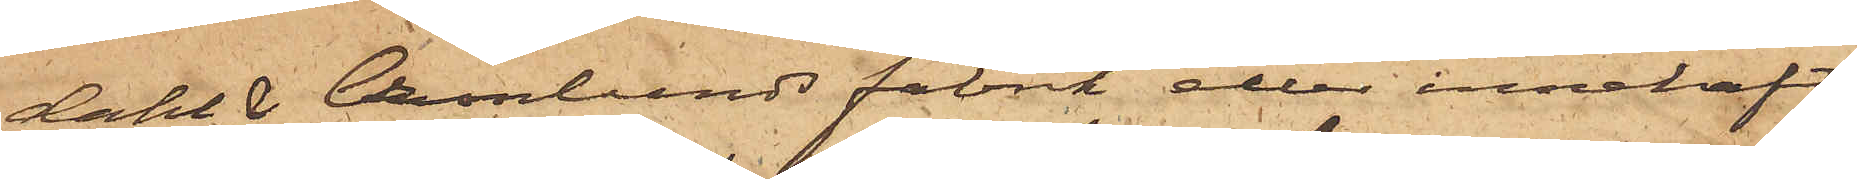dahl & Cronlunds fabrik eller innehaft
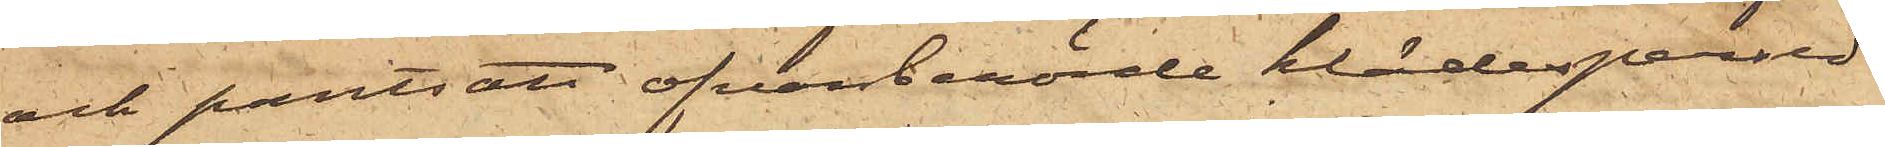och pantsatt ofvanberörde klädespersed¬
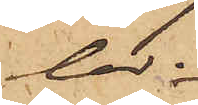lar.
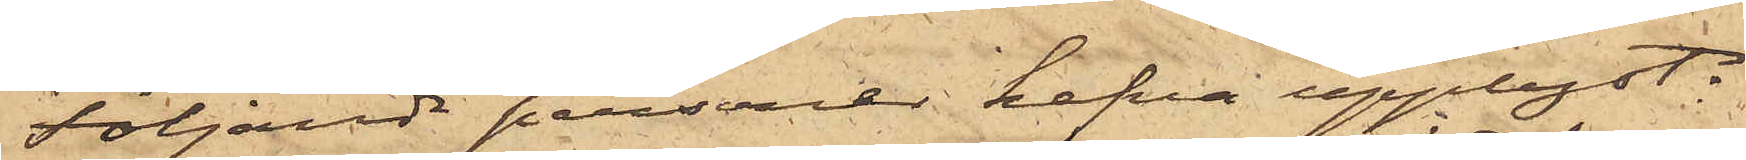Följande personer hafva upplyst:
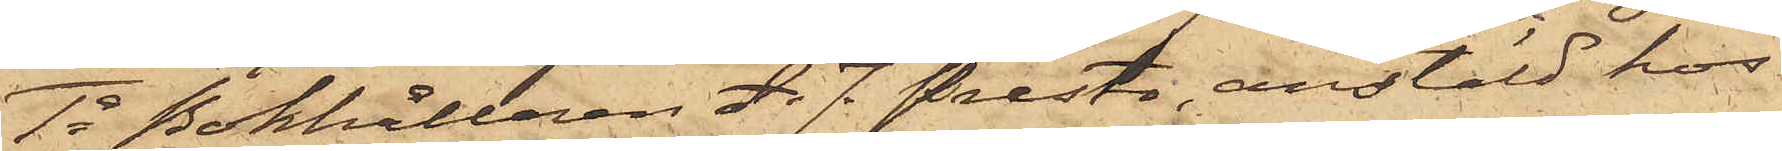1o Bokhållaren A. J. Presto, anstäld hos
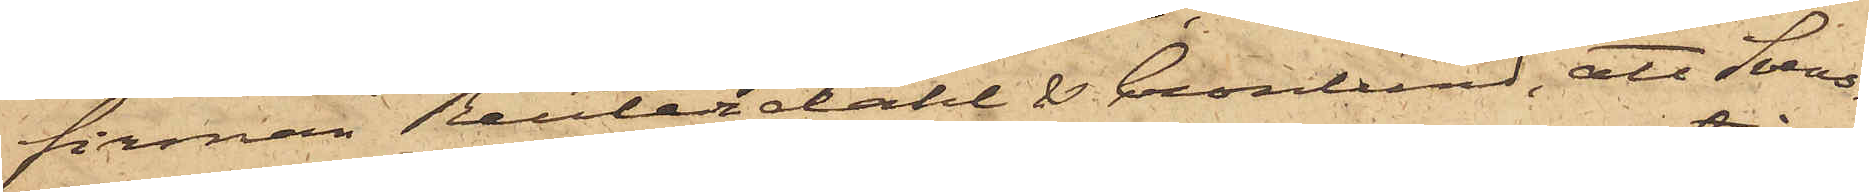firman Reuterdahl & Cronlund, att Svens¬
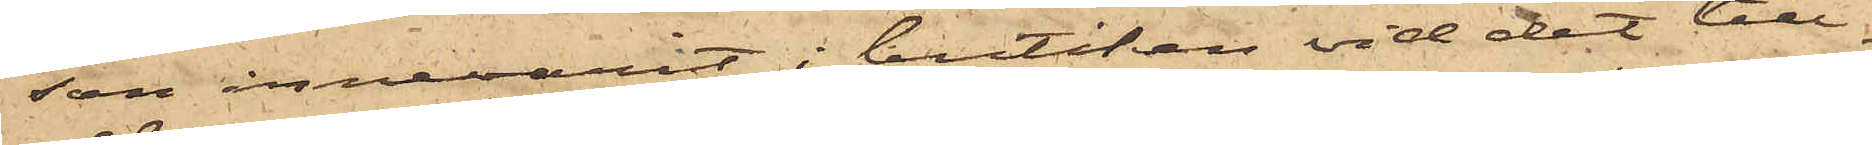son innevarit i butiken vid det till¬
